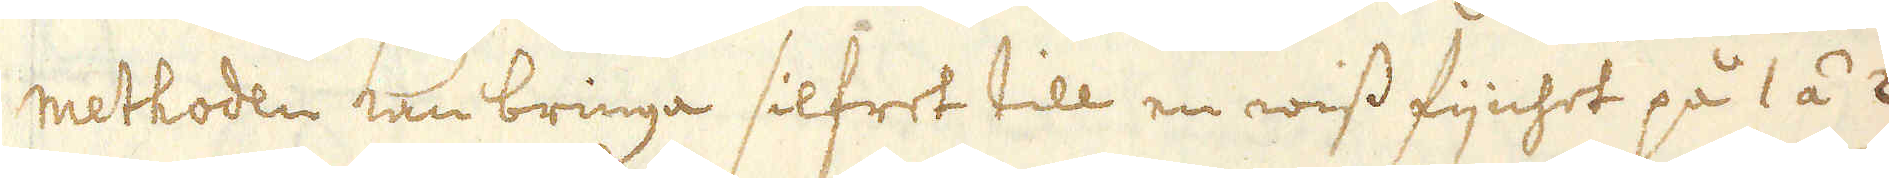methoden kan bringa silfret till en wiss fijnhet på 1 á 2
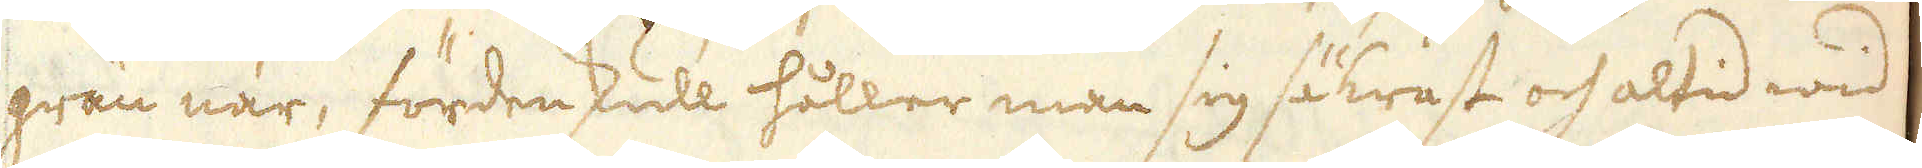grän när, fördenskull håller man sig säkrast och altid wid
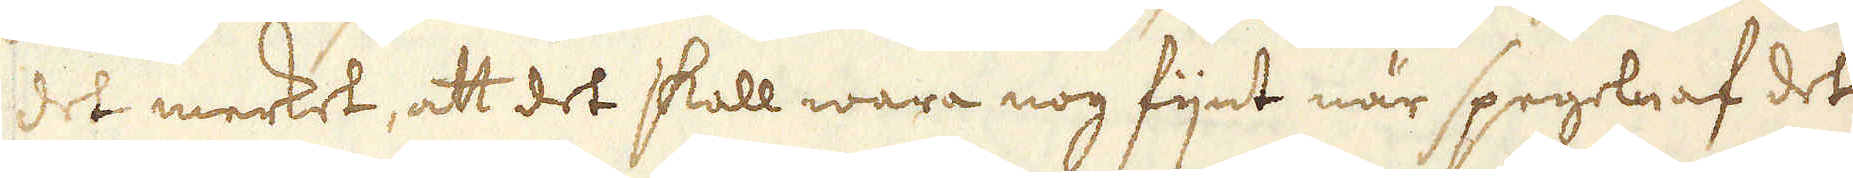det merket, att det skall wara nog fijnt när spegeln af det
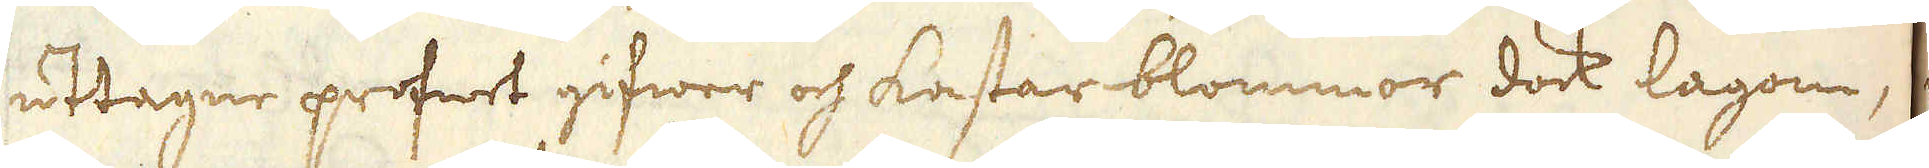uttagne profwet gifwer och kastar blommor dock lagom,
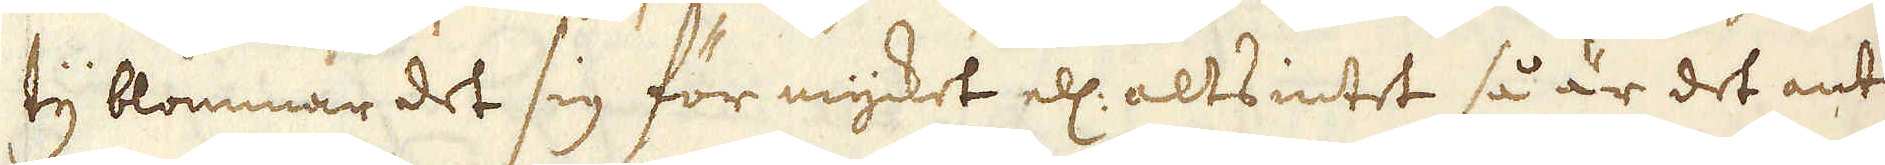ty blommar det sig för mycket ell: alts intet så är det antin-
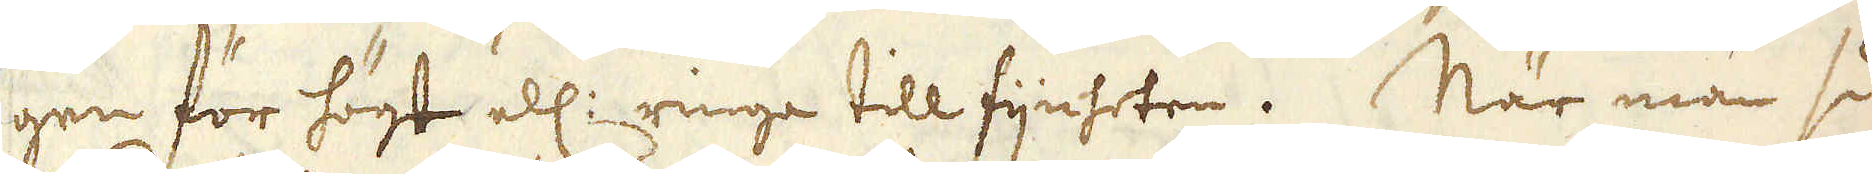gen för högt ell: ringa till fijnheten. När man så-
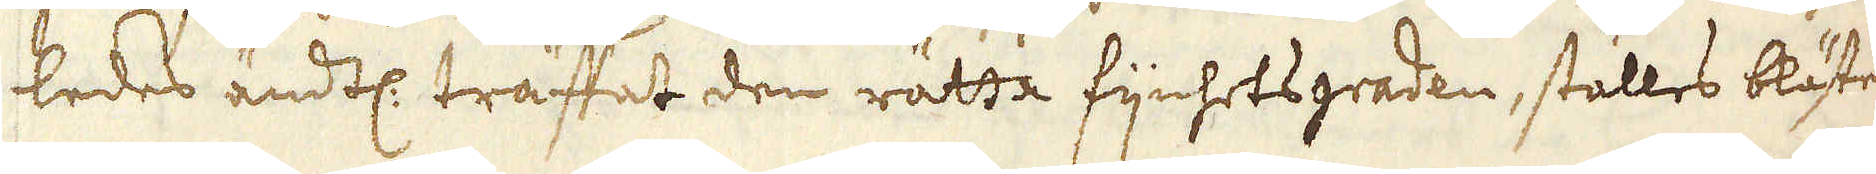ledes ändtl. träffat den rätta fijnhetsgraden, ställes blästern
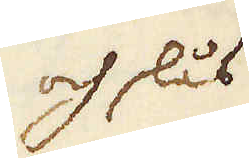och slås
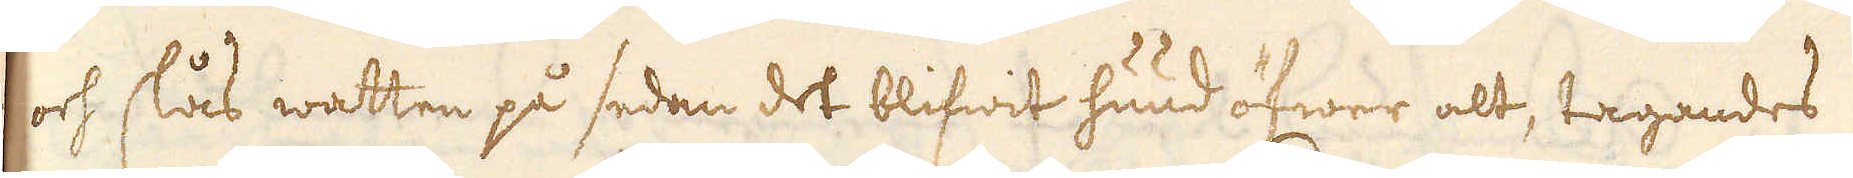och slås watten på sedan det blifwit huud öfwer alt, tagandes
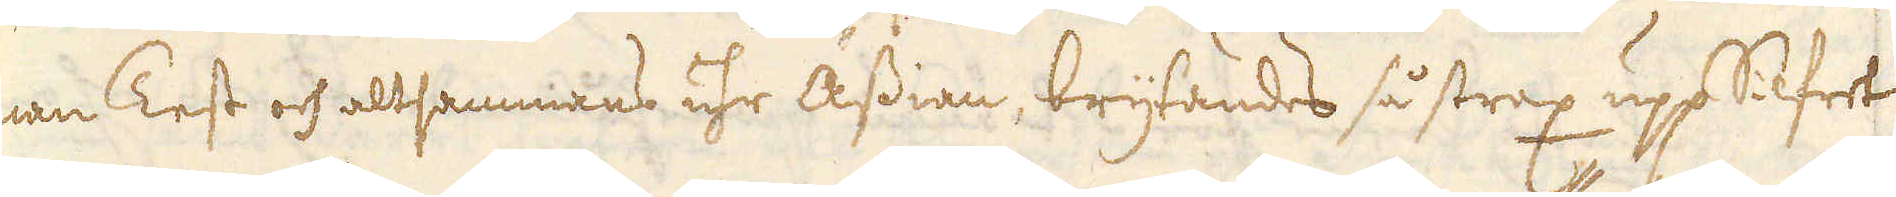man Test och allsammans uhr Ässian, brytandes så strax upp Silfret
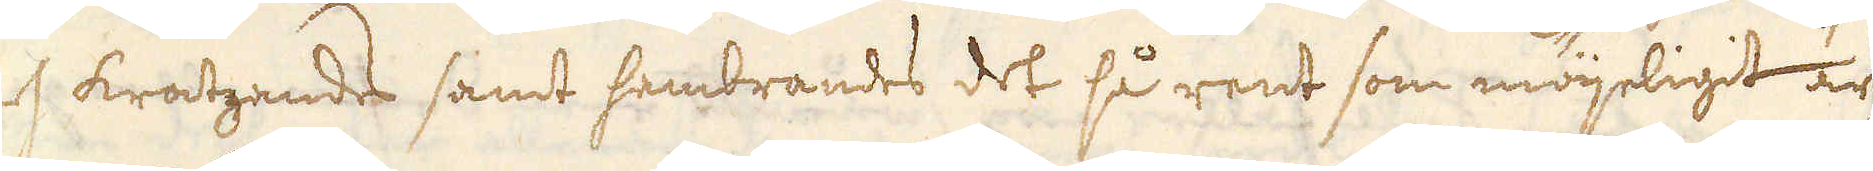och kratzandes samt hembrandes det så rent som möjeligit är
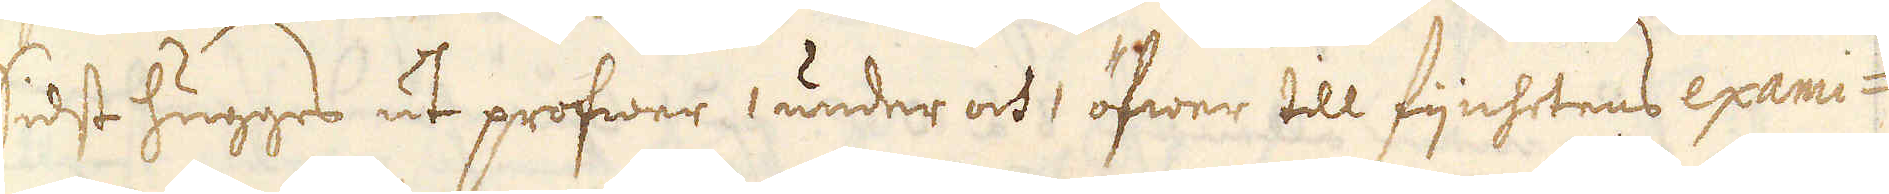sidst hugges ut profwer 1 under och 1 öfwer till fijnhetens exami-
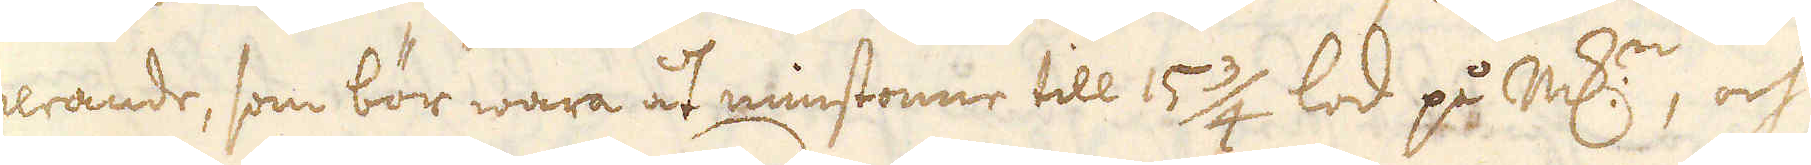nerande, som bör wara åt minstonne till 15 3/4 lod på markern, och
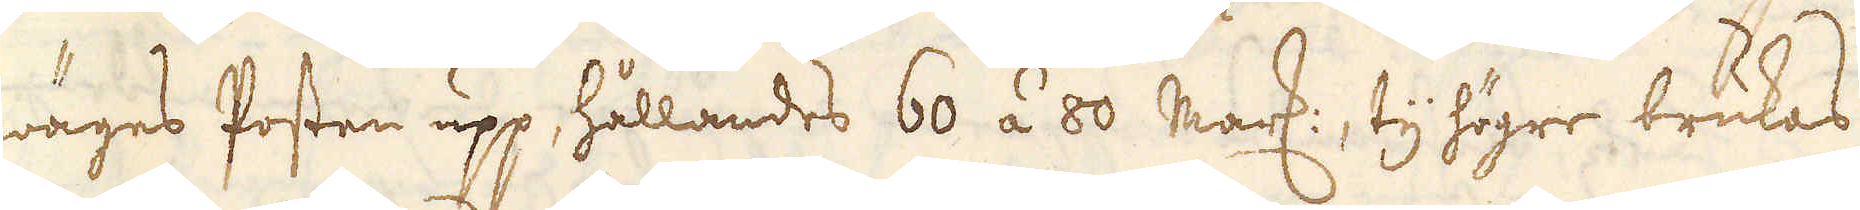wäges Posten upp hållandes 60 á 80 Marker, ty högre brukas
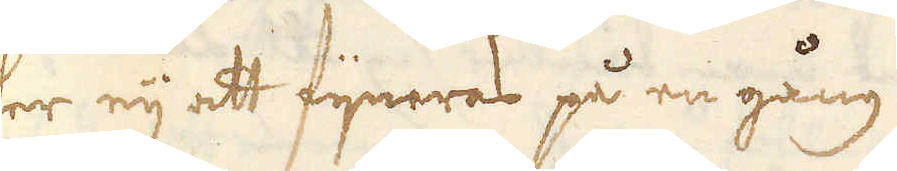her eij att fijneras på en gång.
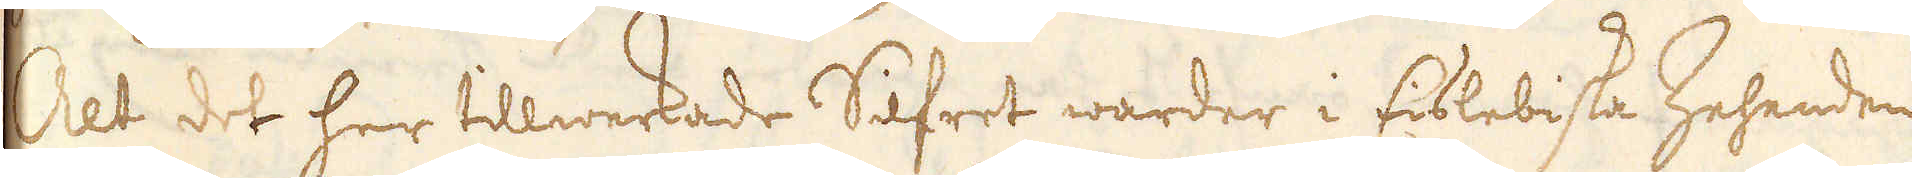Alt det her tillwerkade Silfret warder i Eislebiska Zehenden
